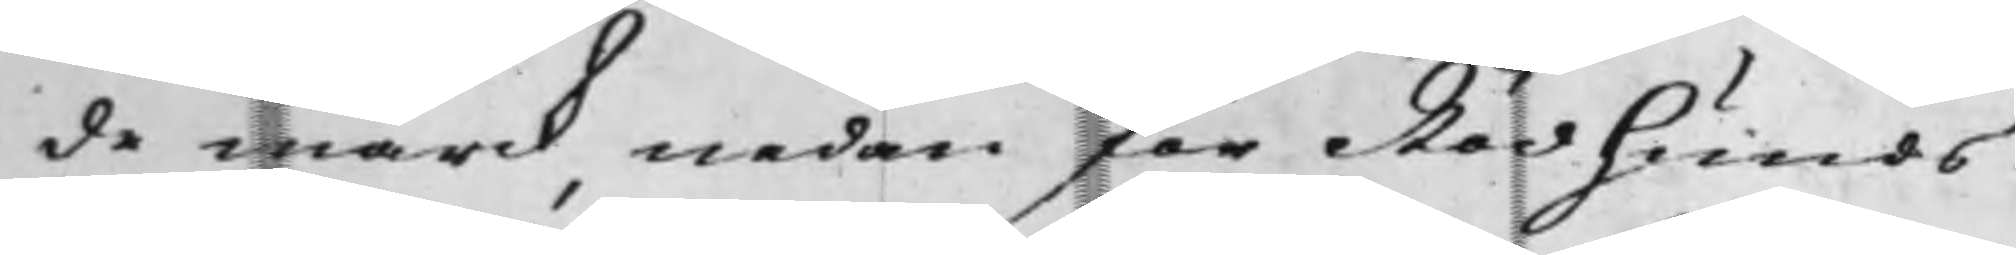de mark nedan för Rödhunds
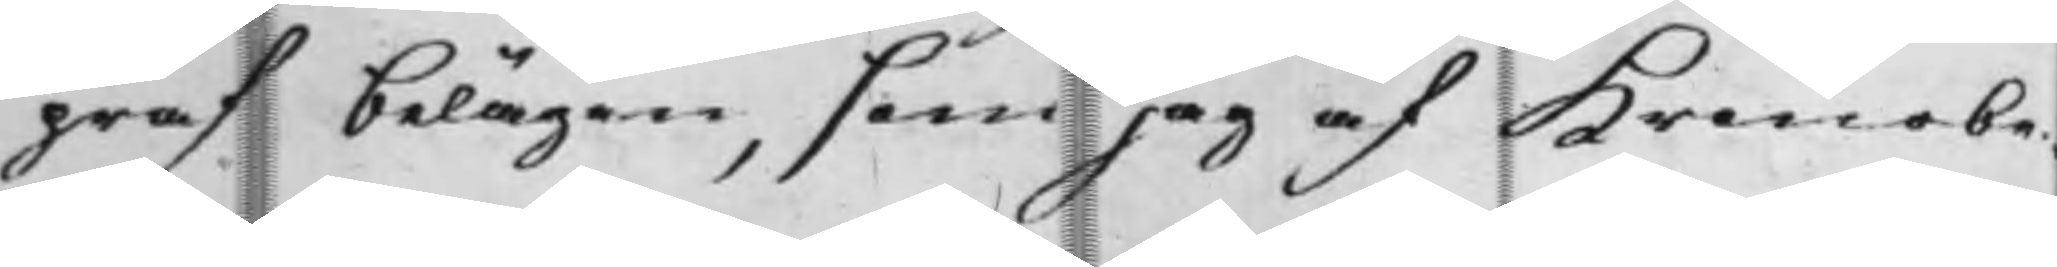graf, belägen, som jag af Kronobe¬
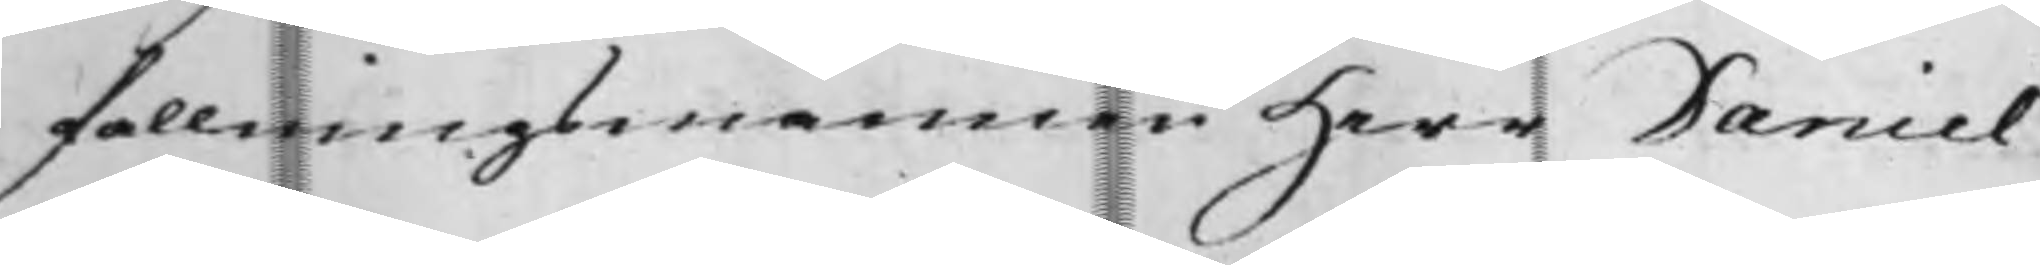fallningsmannen Herr Daniel
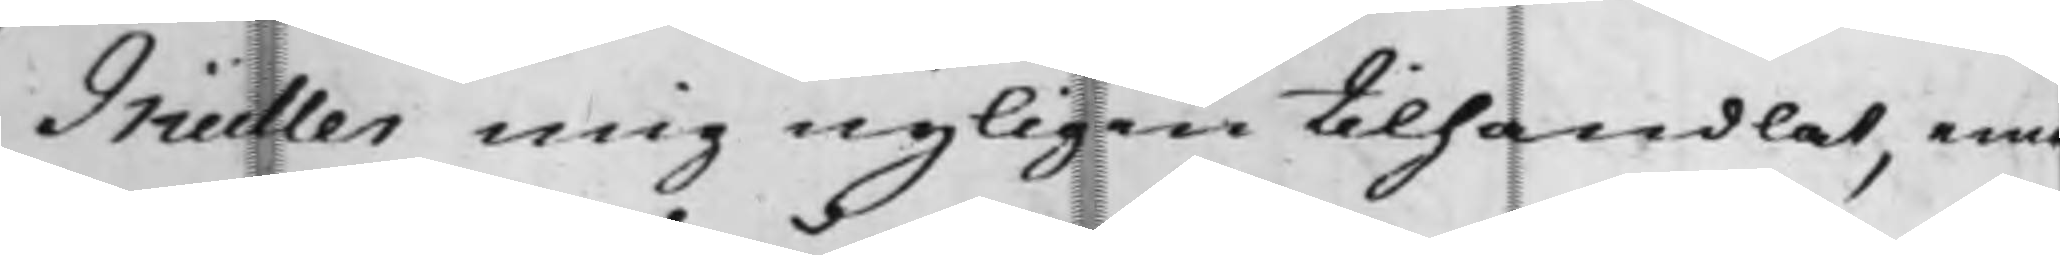Müller mig nyligen tilhandlat, emo
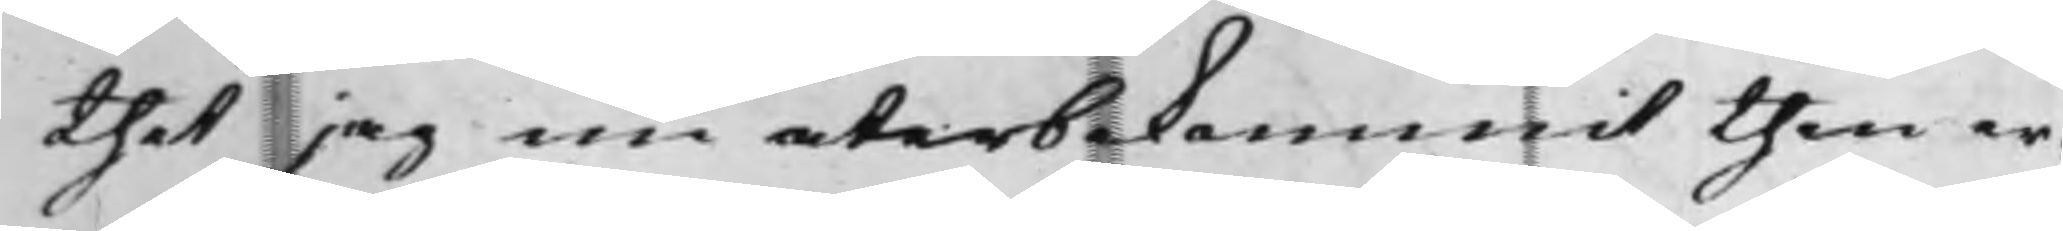thet jag nu återbekommit then er¬
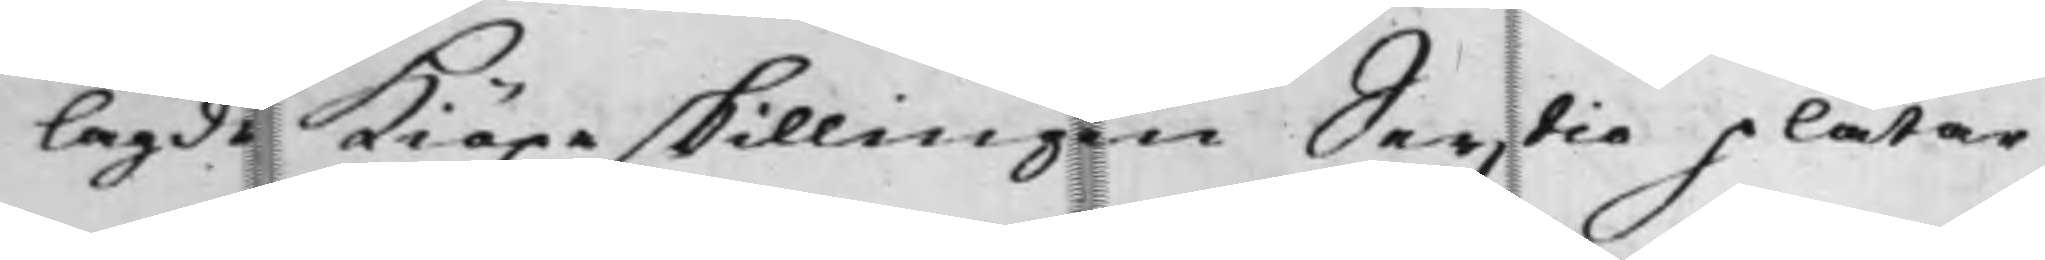lagde Kiöpeskillingen Sextio plåtar
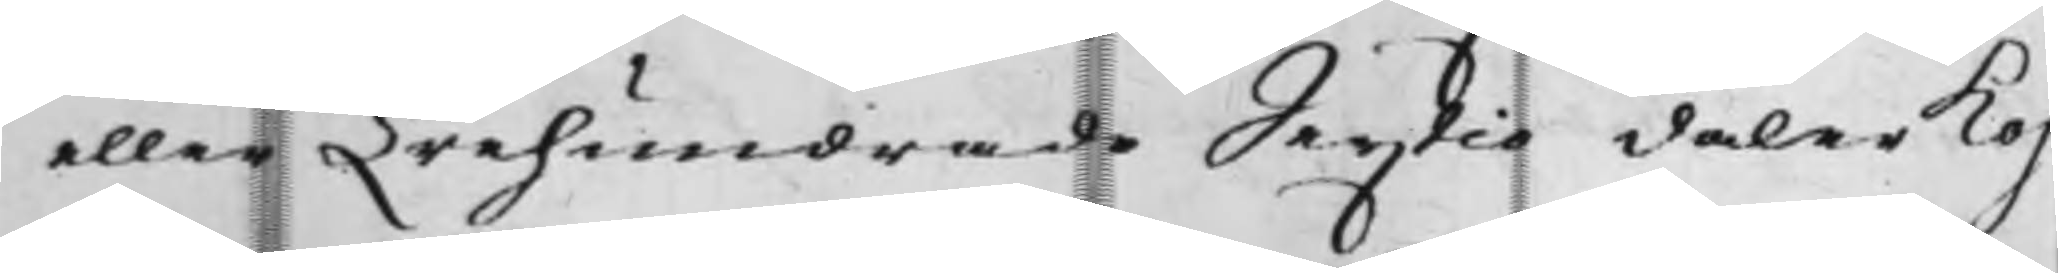eller Trehundrade Sextio daler Kop¬
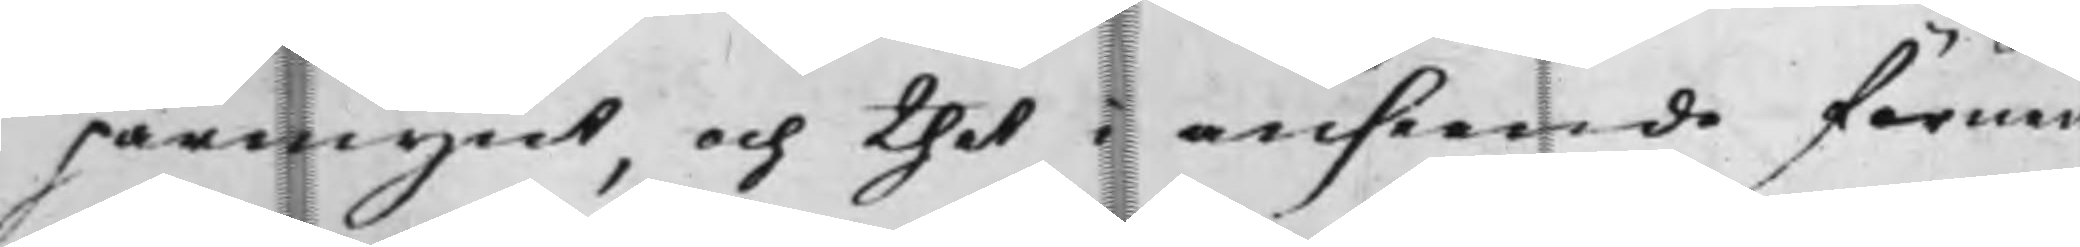parmynt, och thet i anseede förme¬
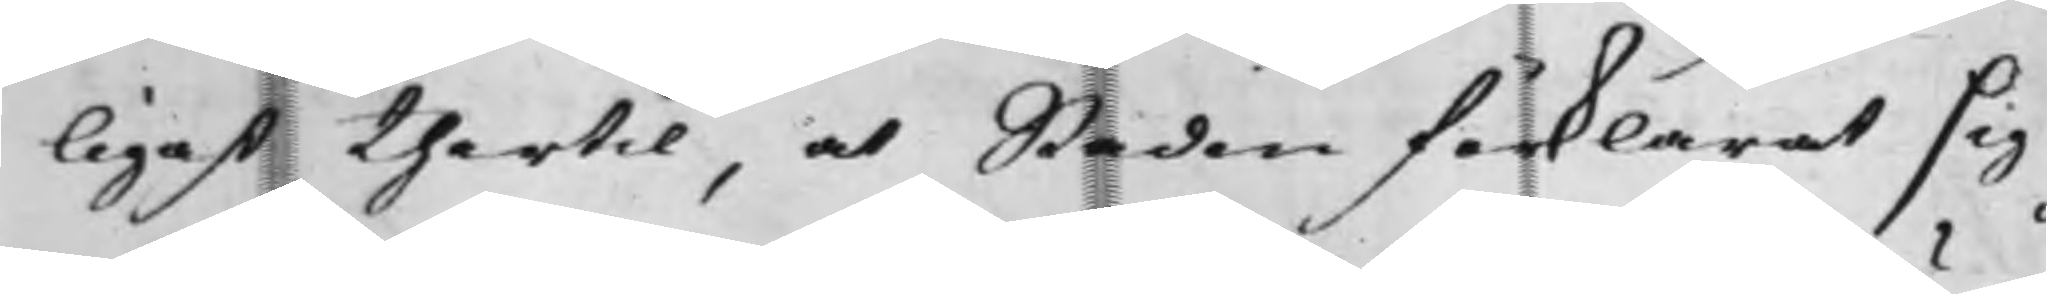ligast thertil, at Staden förklarat sig
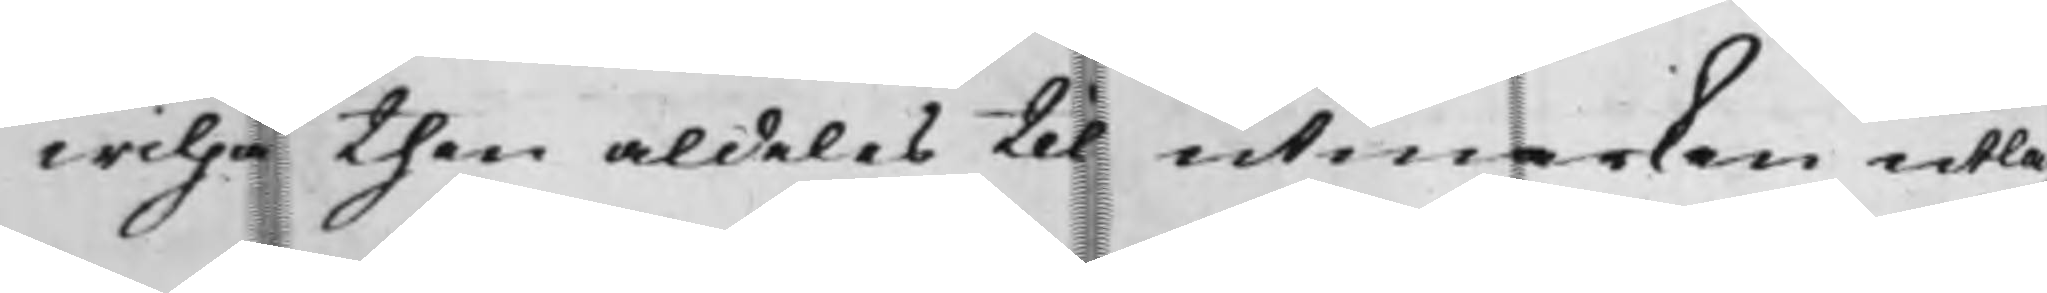wilja then aldeles til utmarken utläg¬
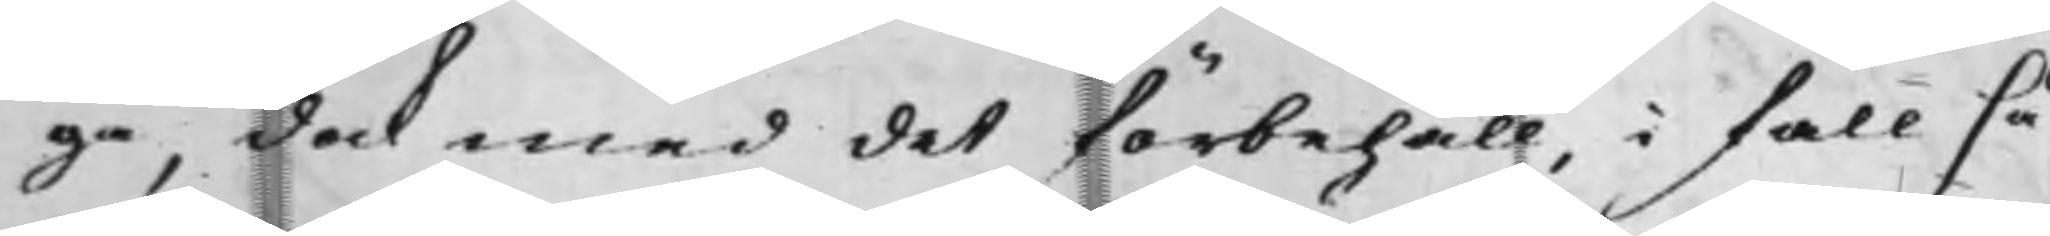ga, dock med det förbehåll, i fall så¬
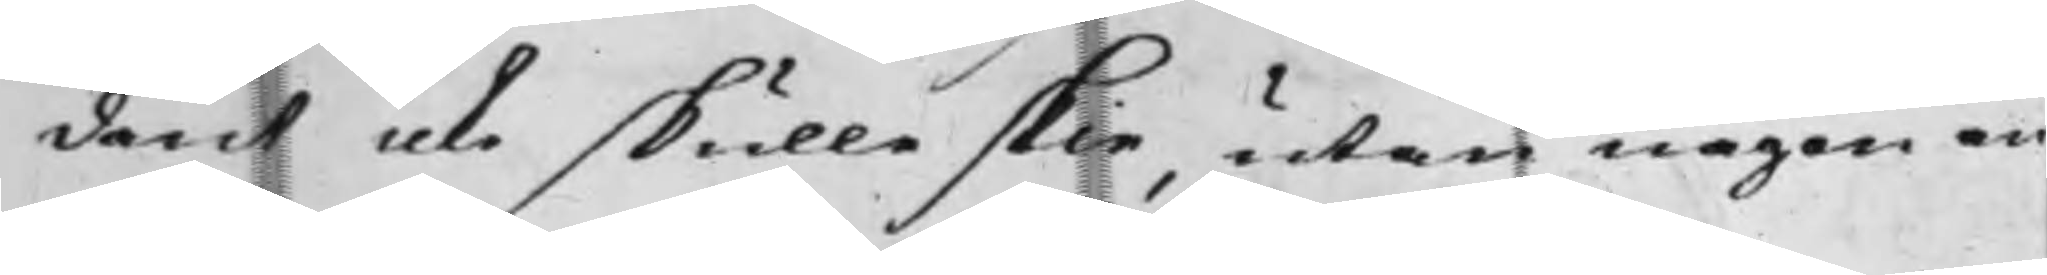dant icke skulle skie, utan någon an¬
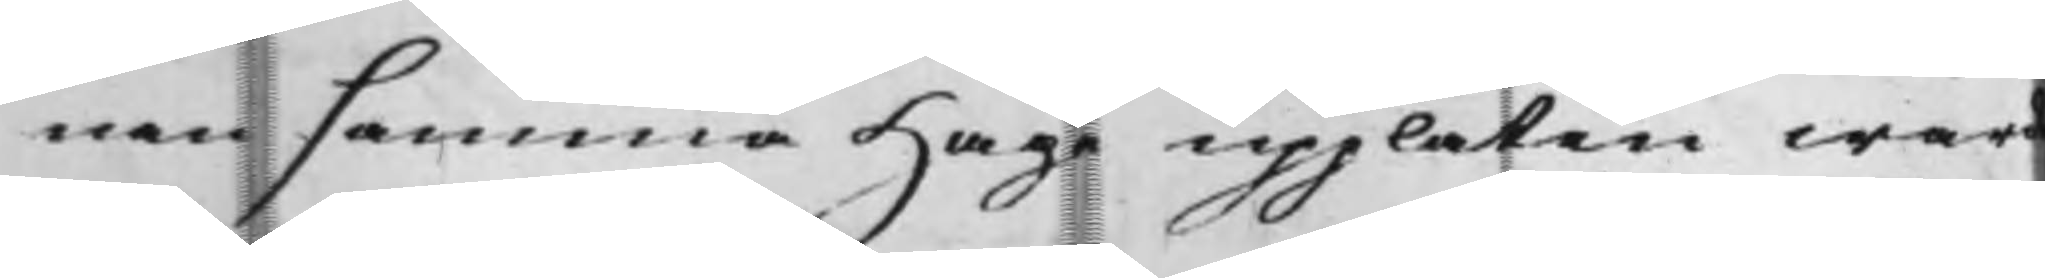nan samma Hage upplåten ward
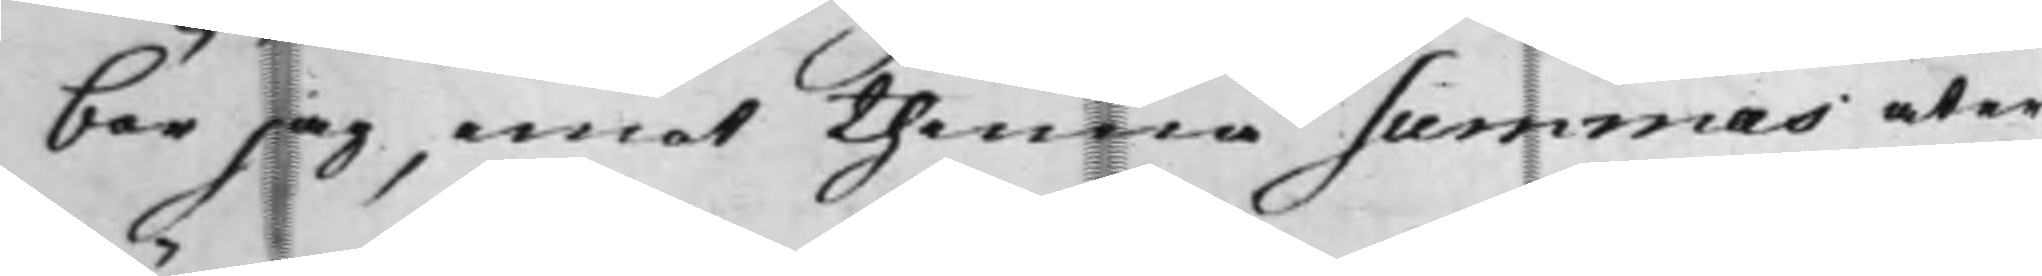bör jag, emot thenna summas åter¬
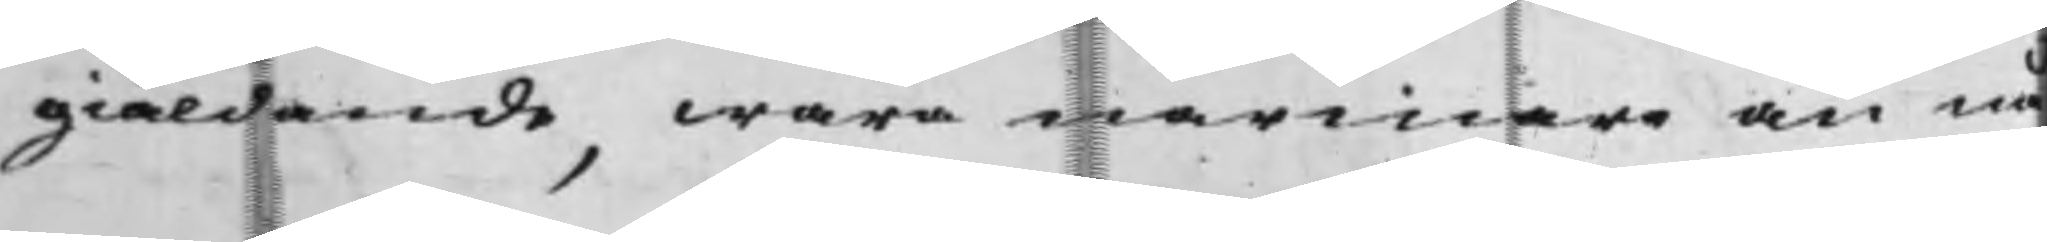giäldande, wara närmare än nå¬
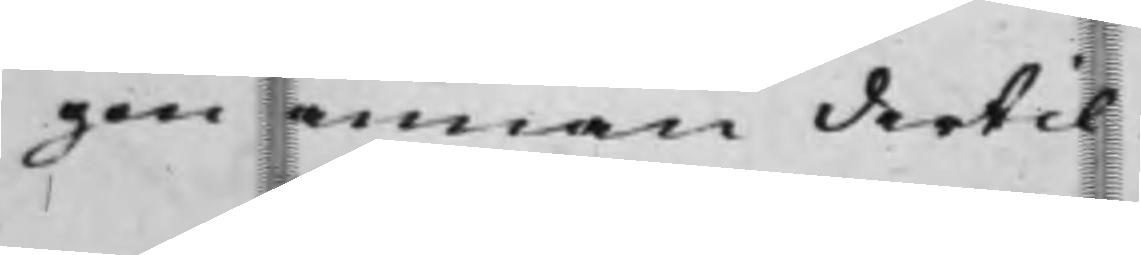gen annan detil.
